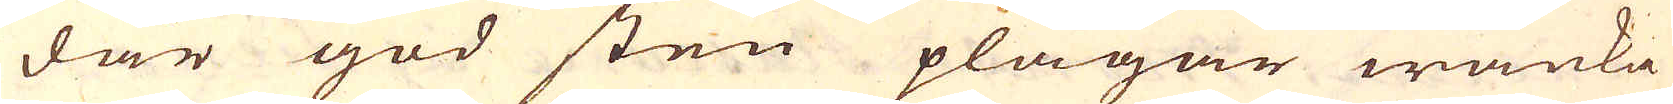där god sten plägar wanka
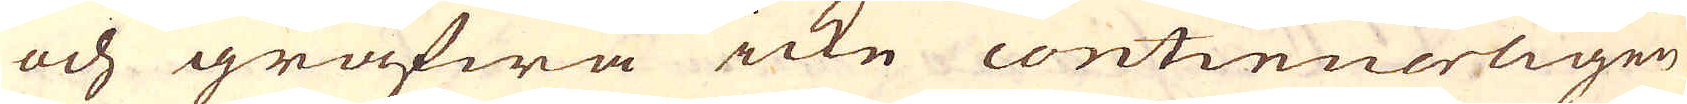och gräfwa icke continuerligen
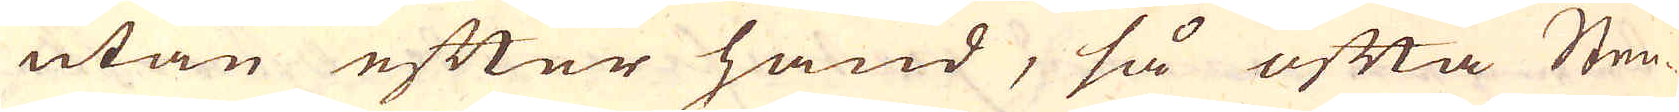utan efter hand, så ofta Sten-
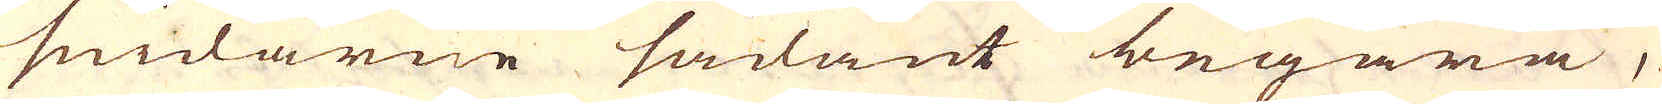smidarne sådant begära,
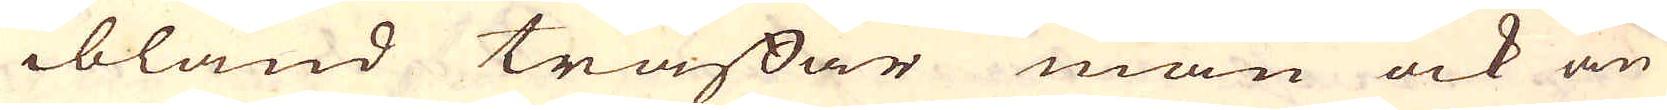ibland träffar man ock an
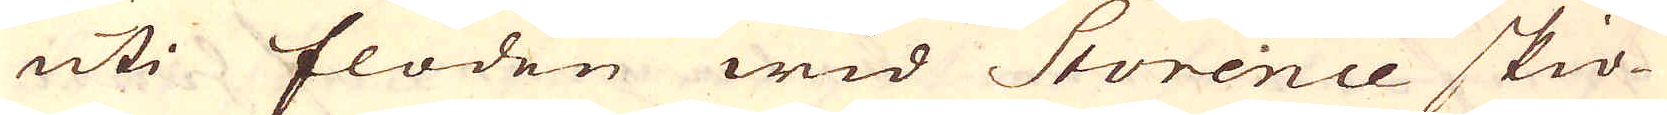uti floden wid Storence skiö-
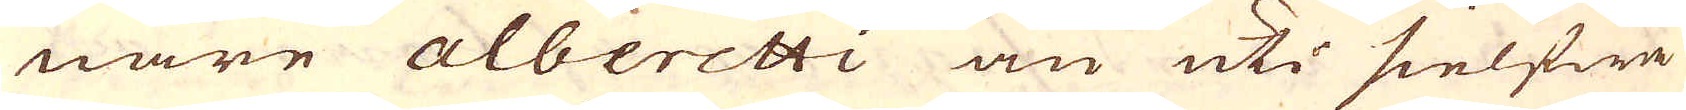nare alberetti än uti sielfwa
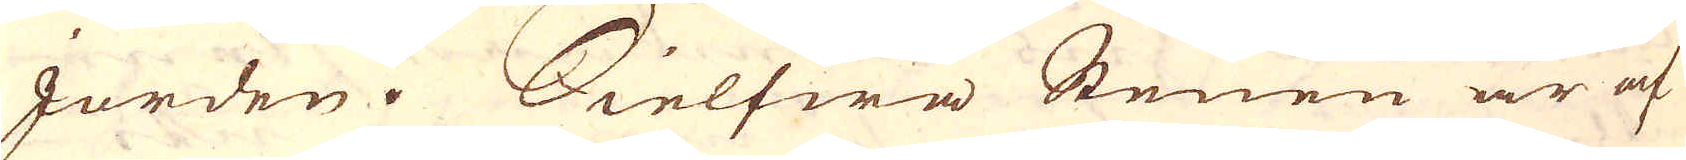Jorden. Sielfwa Stenen är af
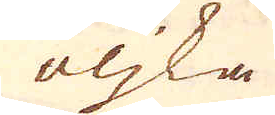oljka
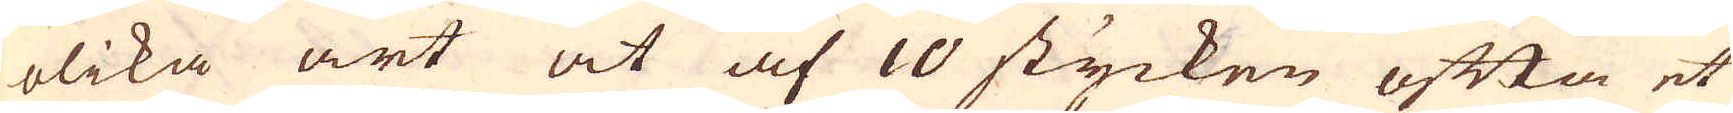olika art at af 10 stycken ofta et
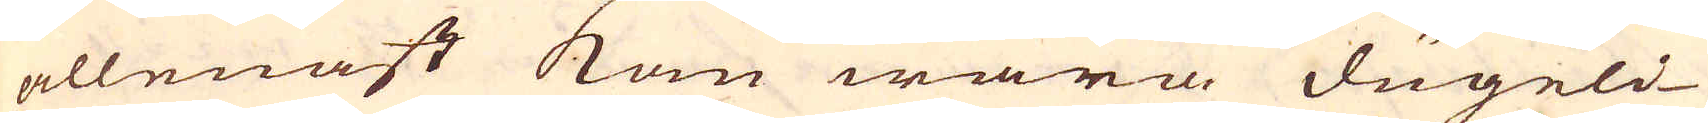allenast kan wara dugeli-
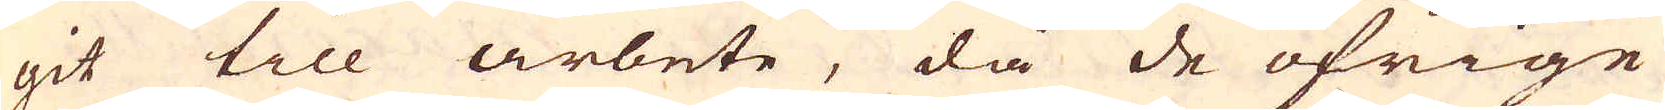git till arbete, då de öfrige
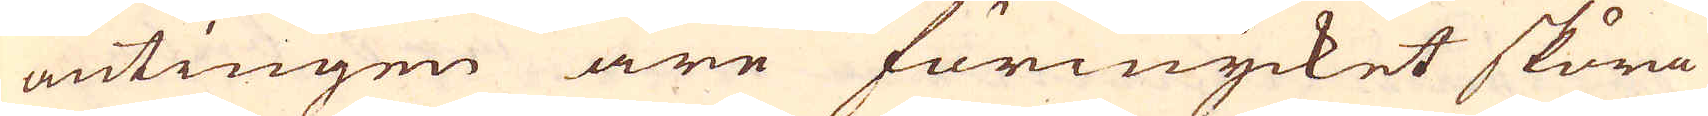antingen äre förmycket sköra
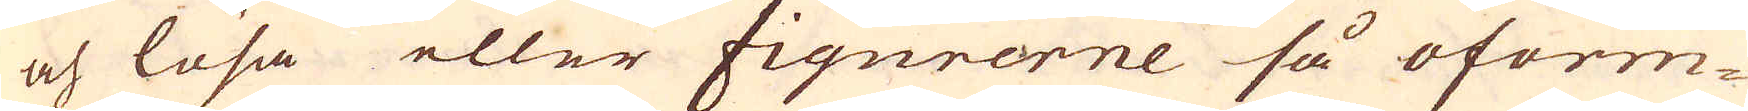och lösa eller figurerne så oform-
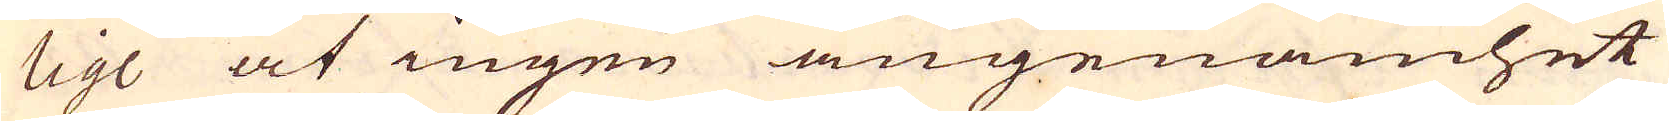lige at ingen angenämhet
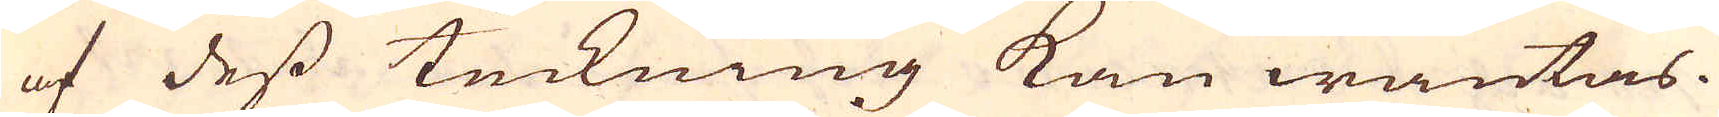af dess teckning kan wäntas.
